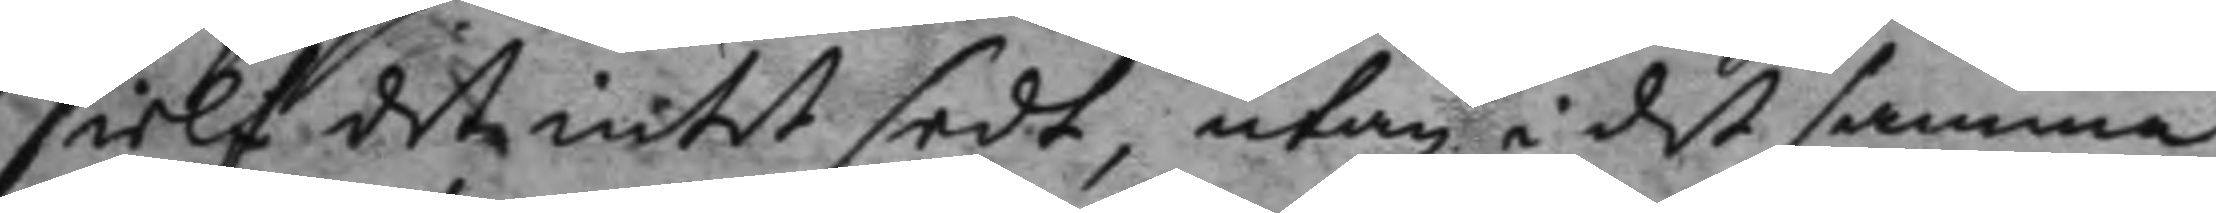sielf det intet sedt, utan i det samma
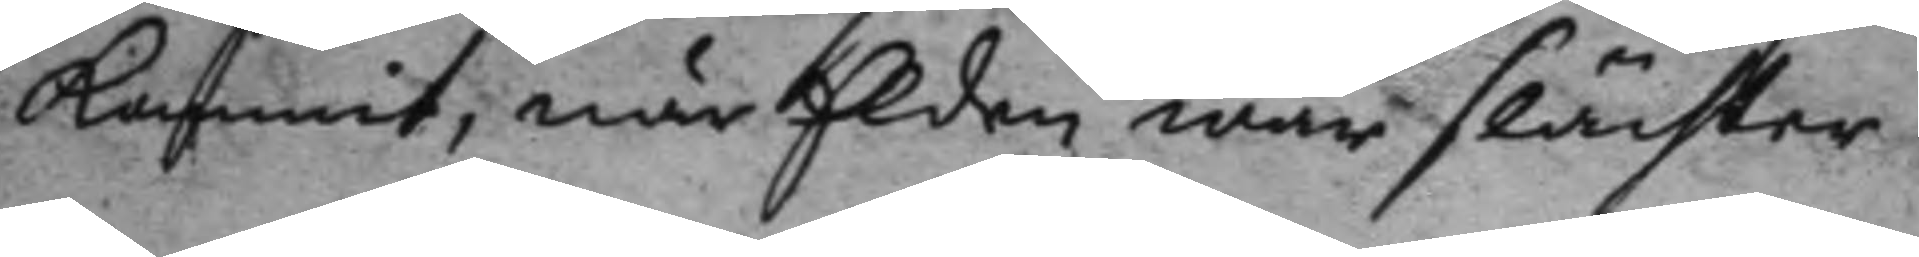kommit, enär Elden war slächter.
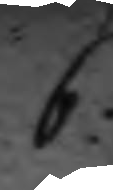6.
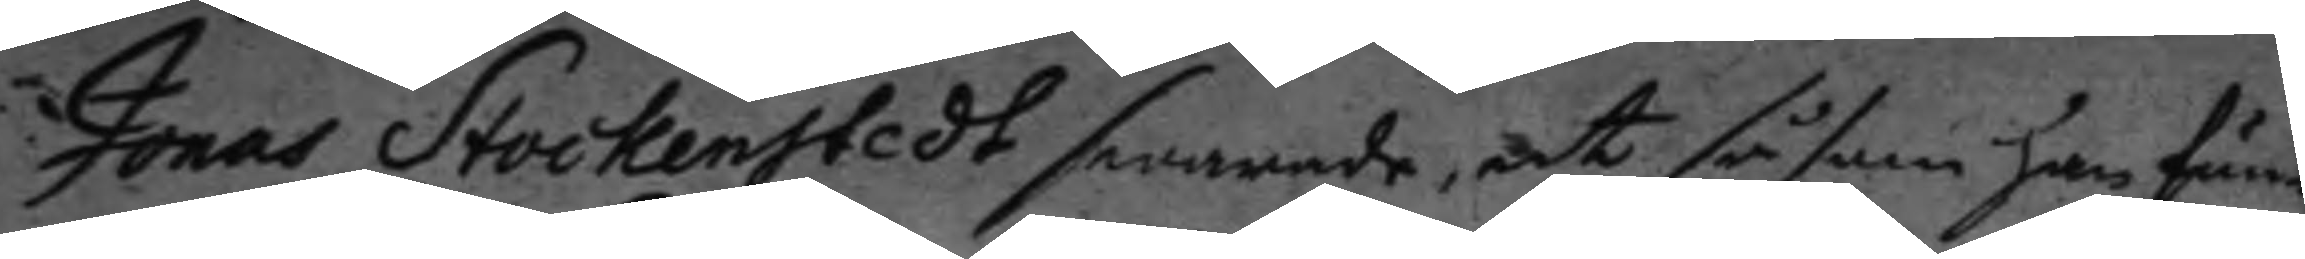Jonas Stockenstedt swarade, at såsom han fun¬
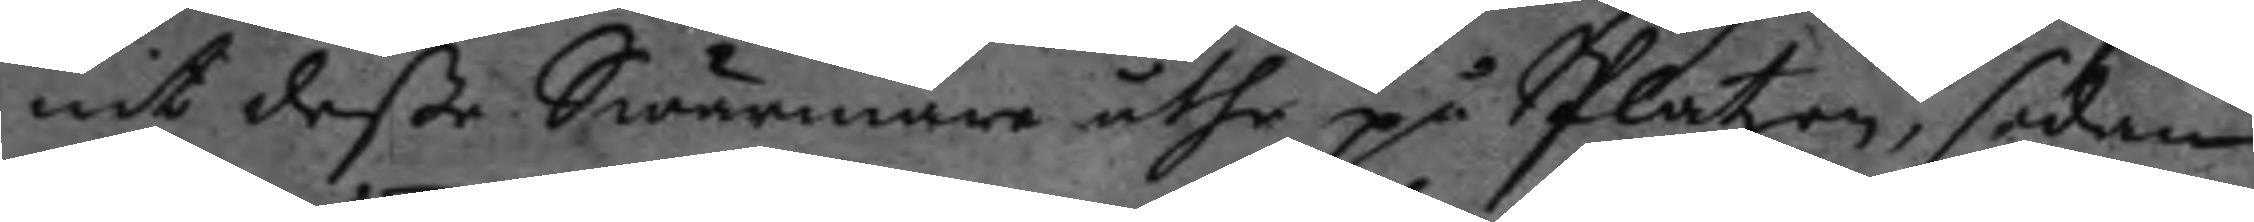nit deße Swärmare uthe på Platzen, sedan
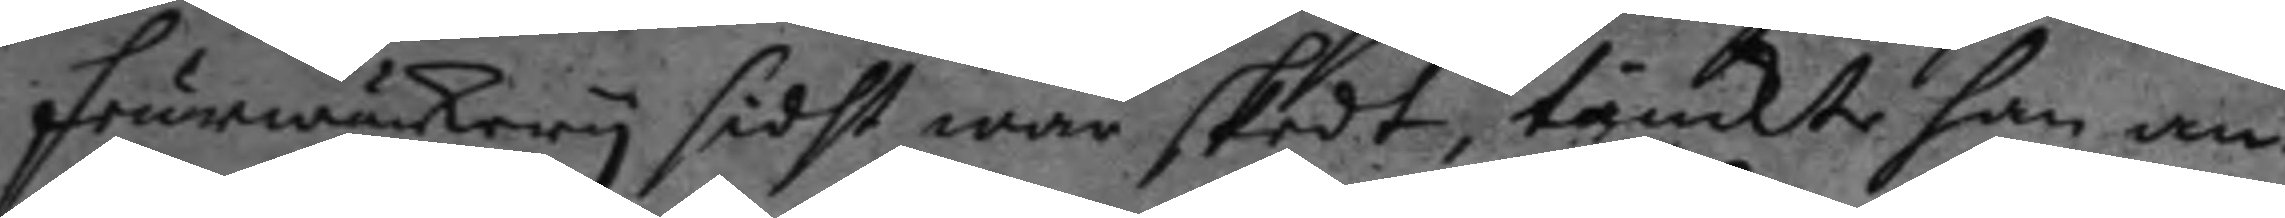feurwärkery sidst war skedt, tänkte han an¬
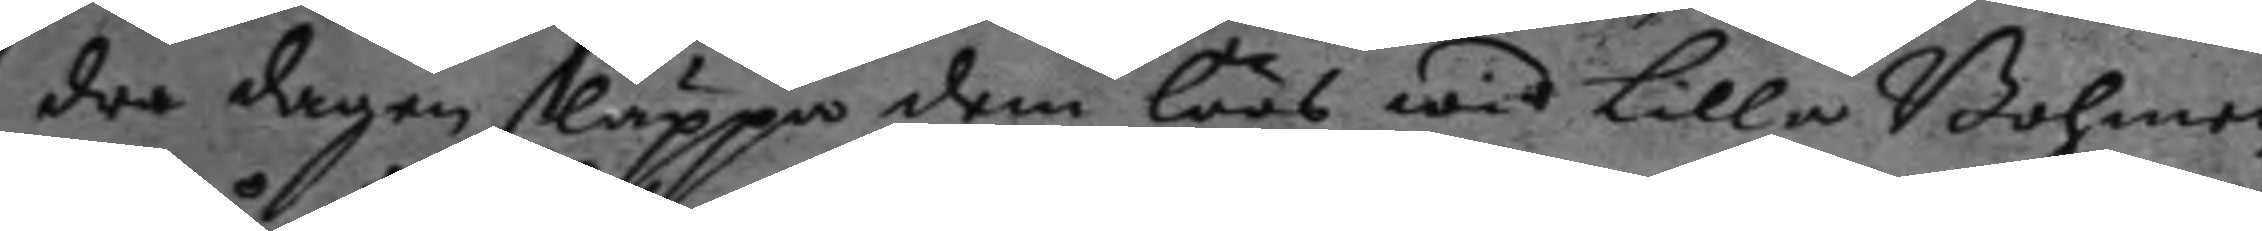dra dagen släppa dem löös wid Lilla Bohmen
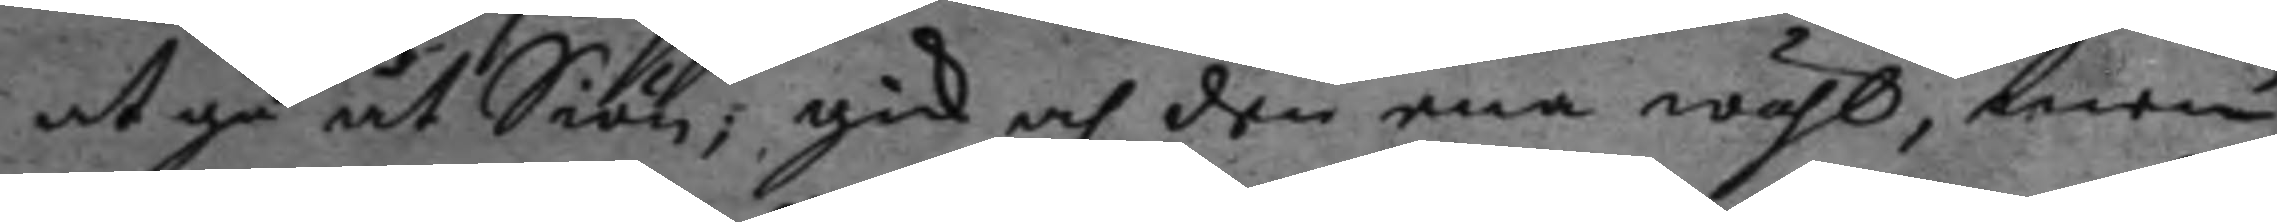at gå åt Siön; gick och den ena wähl, men
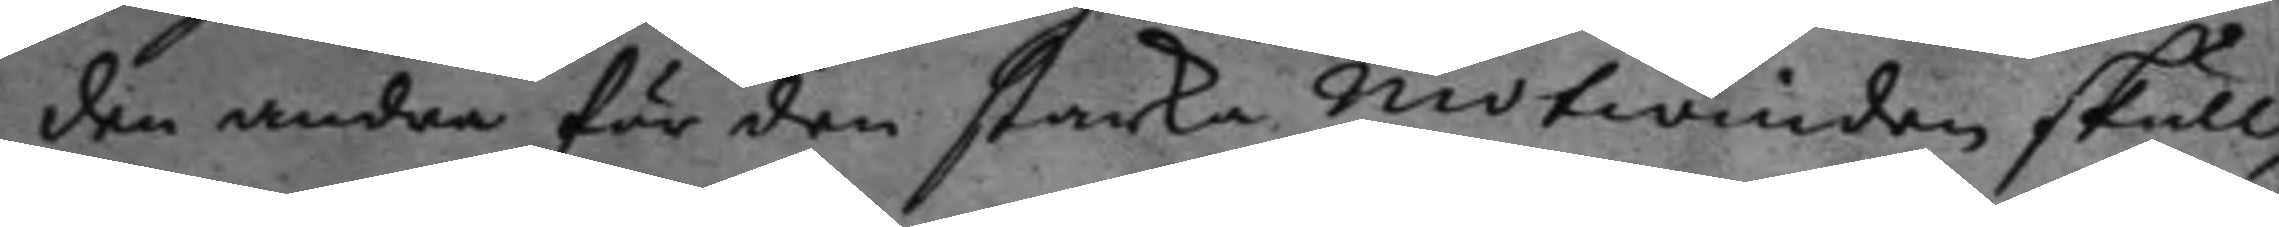den andra för den starka motwinden skull,
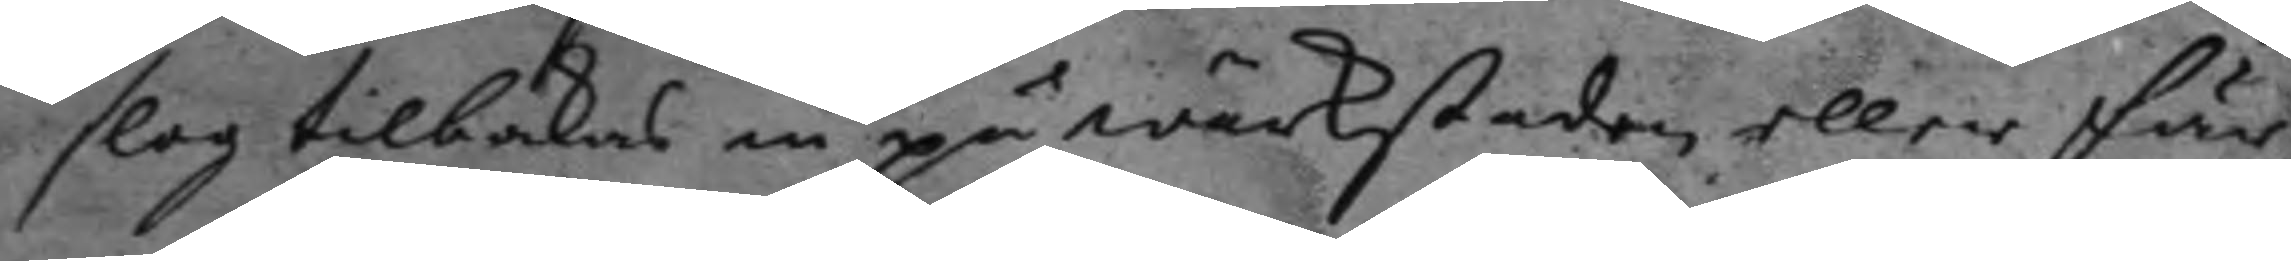slog tilbakas in på wärkstaden eller fär¬
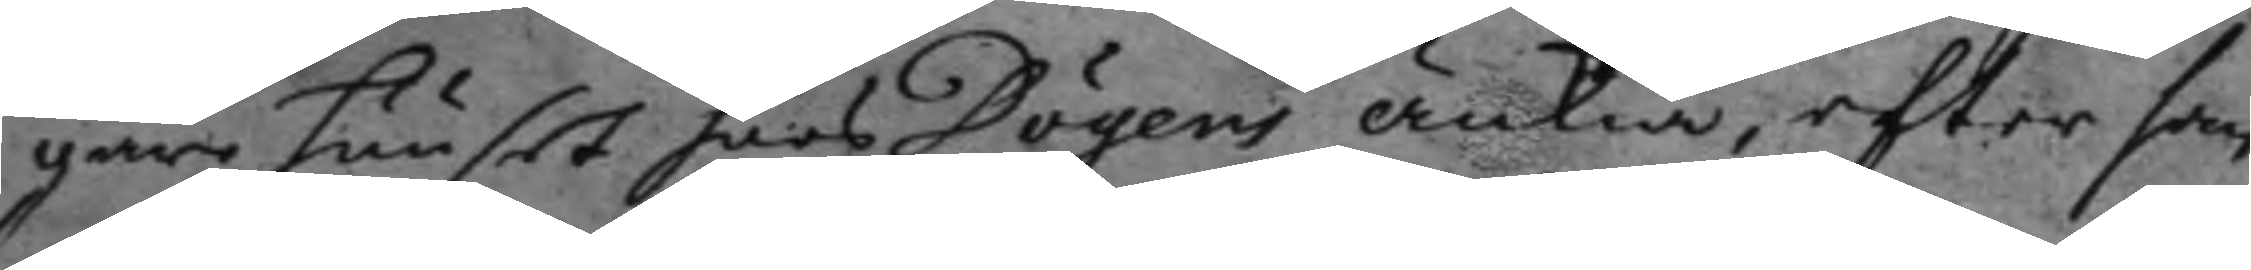gare huuset hoos Dögens änkia, efter som
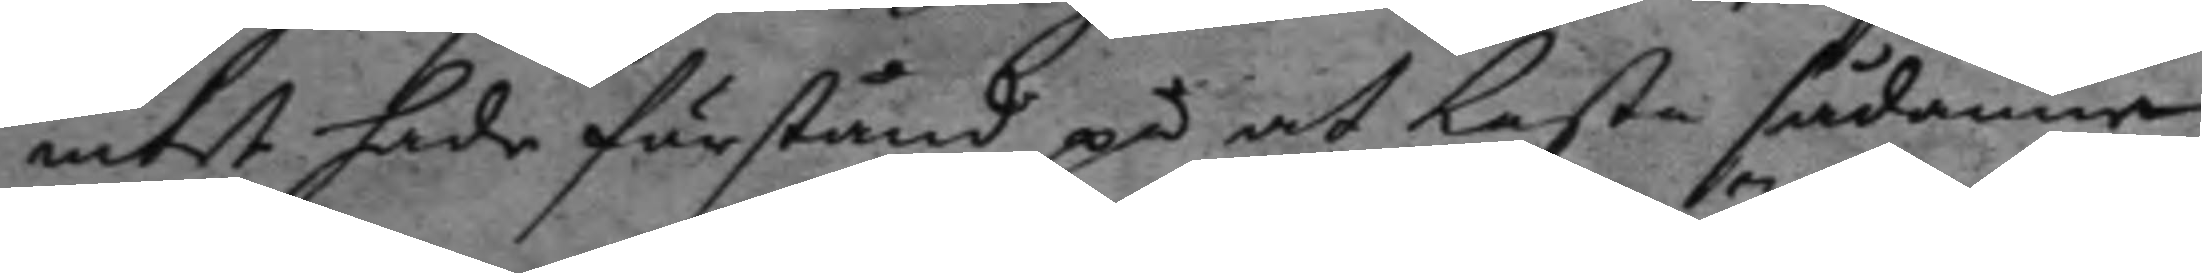intet hade förstånd på at kasta sådanne
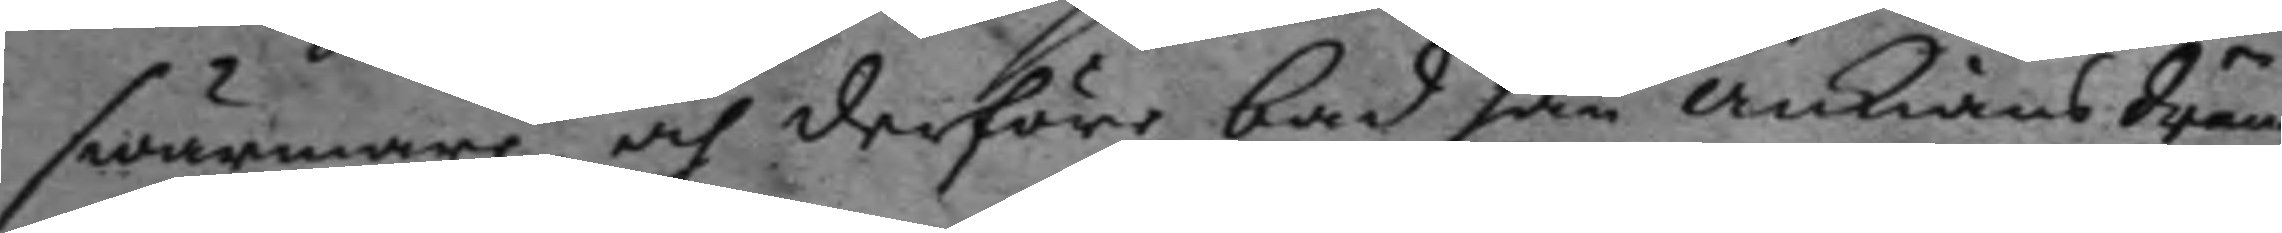swärmare och derföre bad han änkians dräng
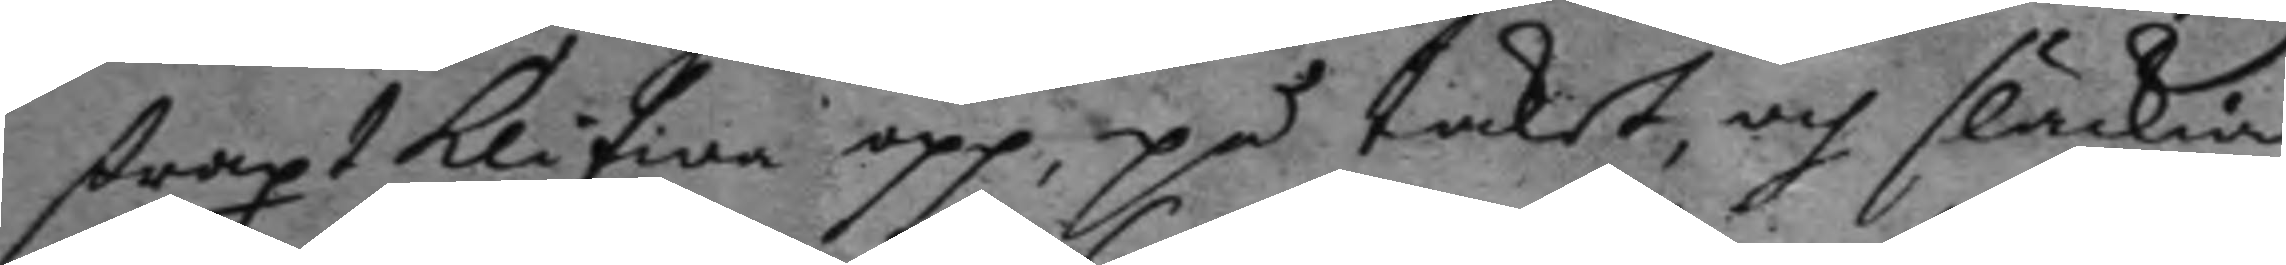straxt klifwa opp, på taket, och släckia
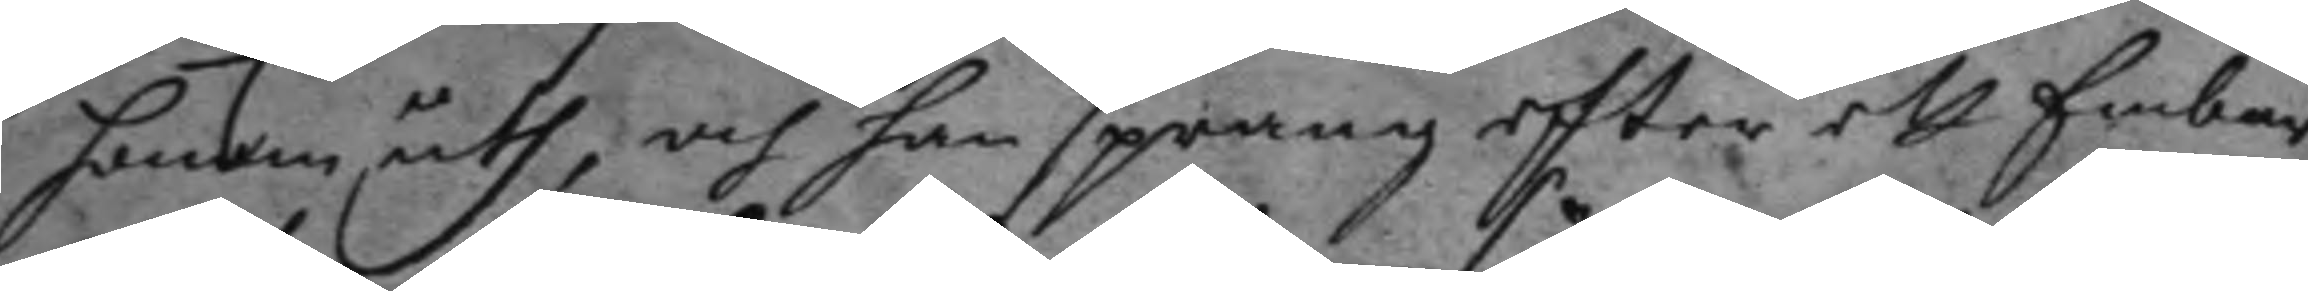honom uth, och han sprang efter et Embar
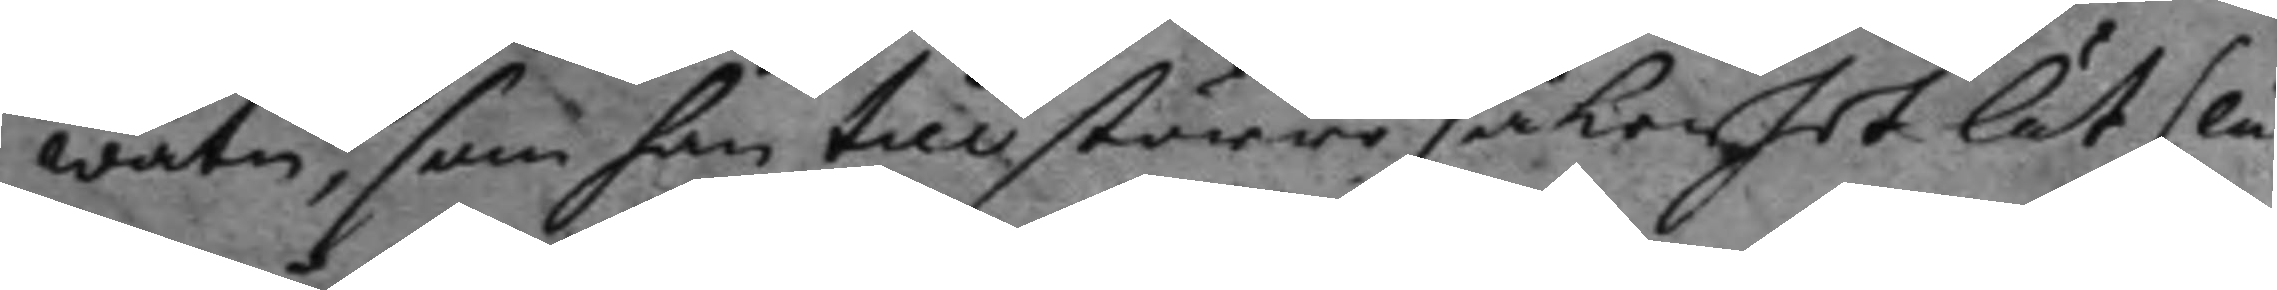watn, som han till större skerhet lät sl
